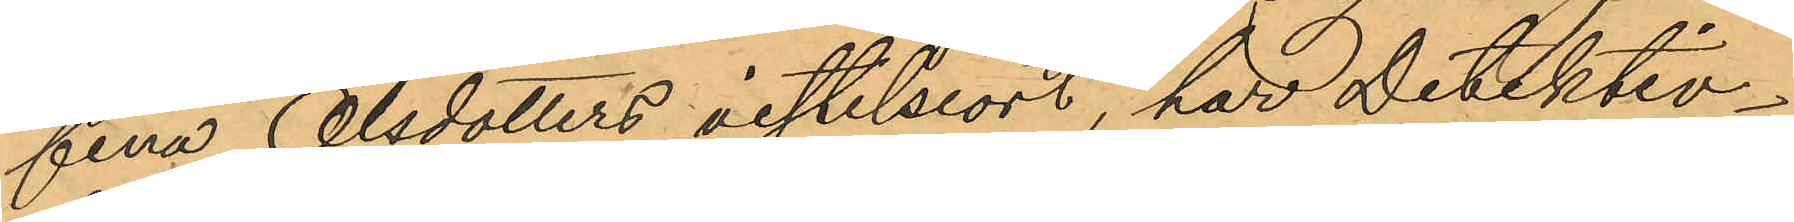fina Olsdotters vistelseort, har Detektiv¬
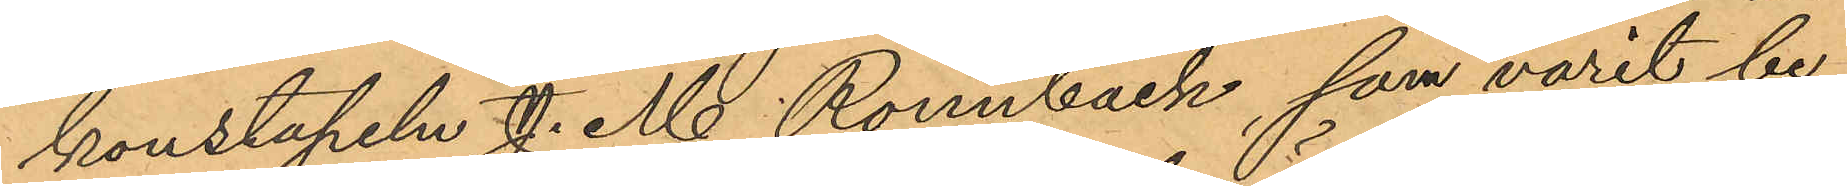konstapeln J. M. Rönnbäck, som varit be¬
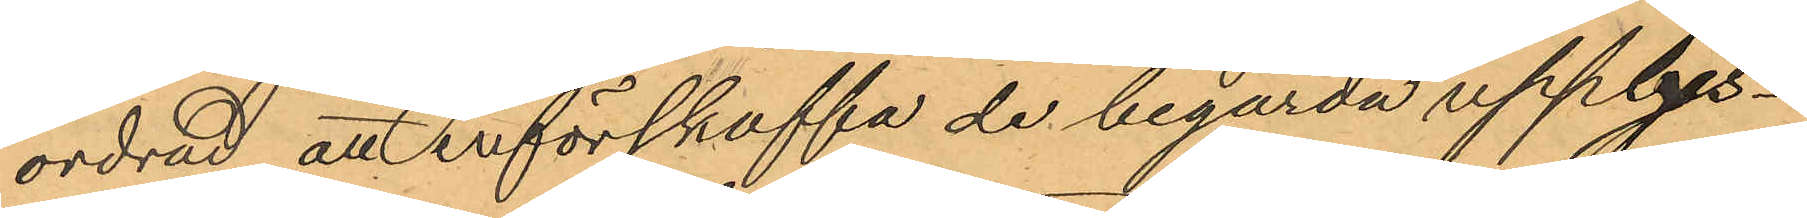ordrad att införskaffa de begärda upplys¬
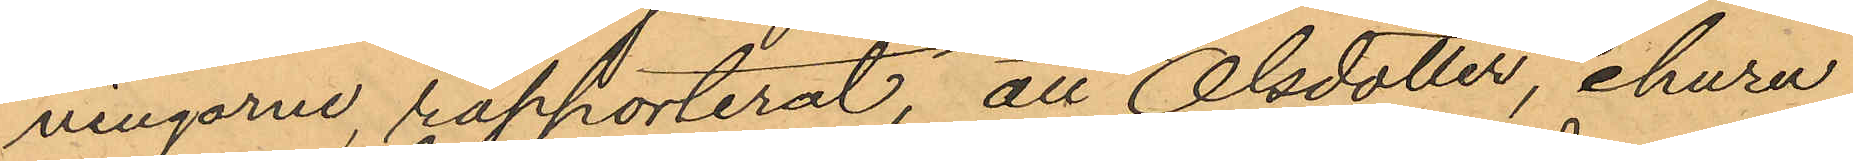ningarne, rapporterat, att Olsdotter, ehuru
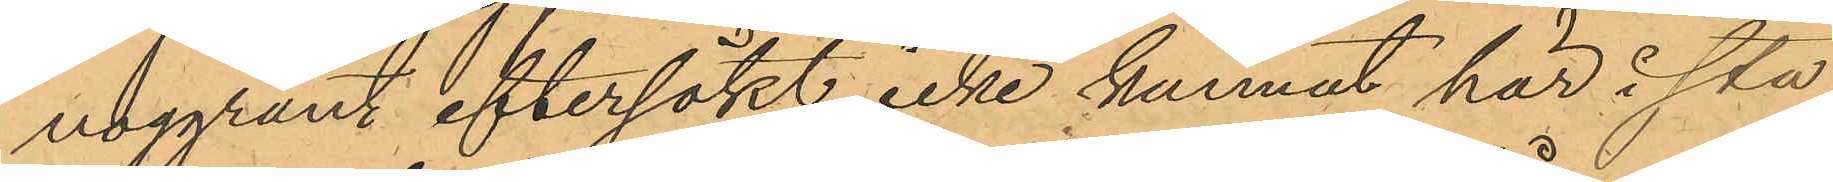noggrant eftersökt, icke kunnat här i sta¬
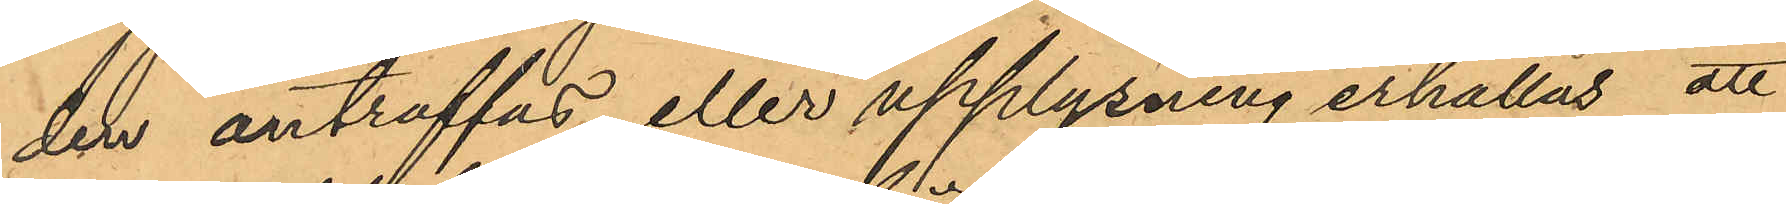den anträffas, eller upplysning erhållas, att
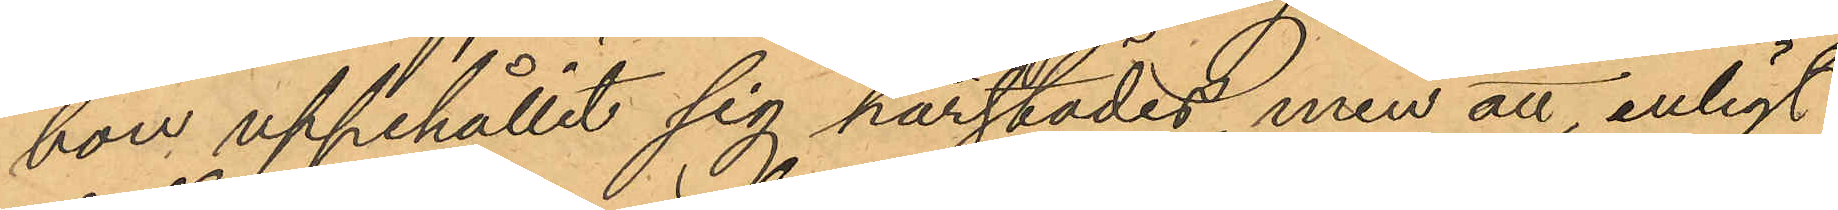hon uppehållit sig härstädes, men att enligt
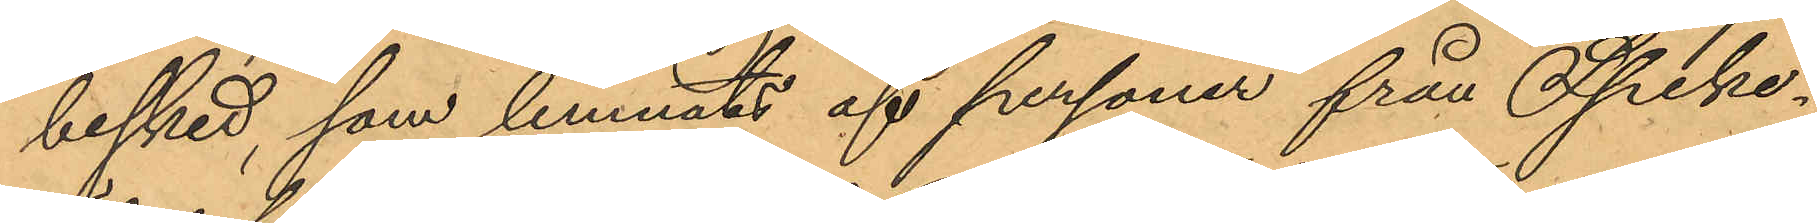besket, som lemnats af personer från Speke¬
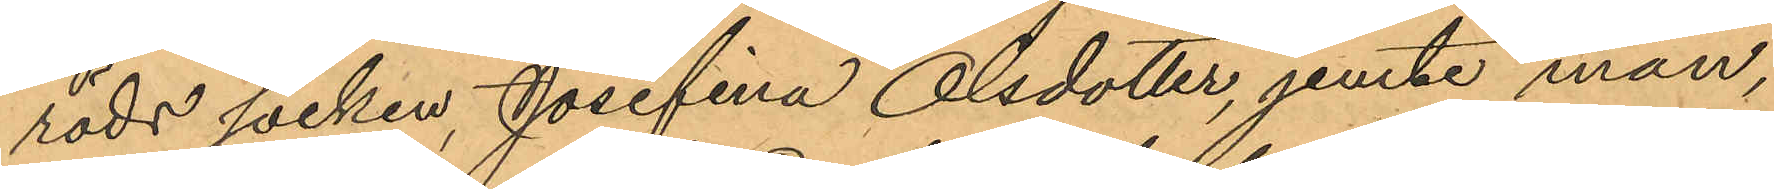röds socken, Josefina Olsdotter, jemte man,
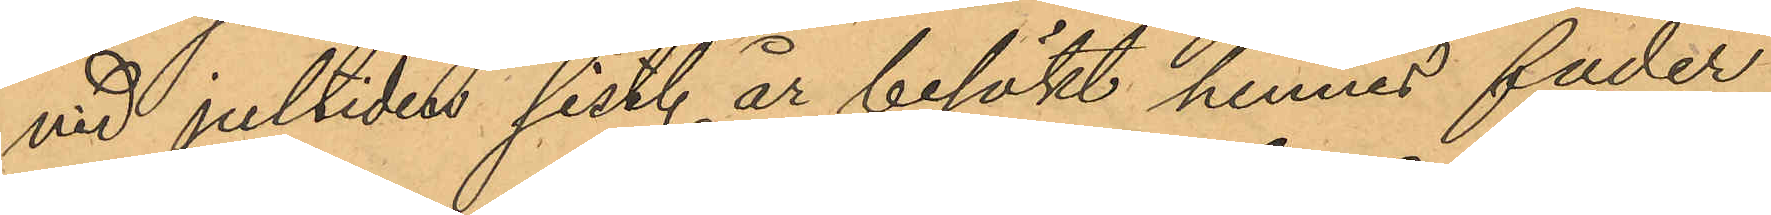vid jultiden sist. år besökt hennes fader
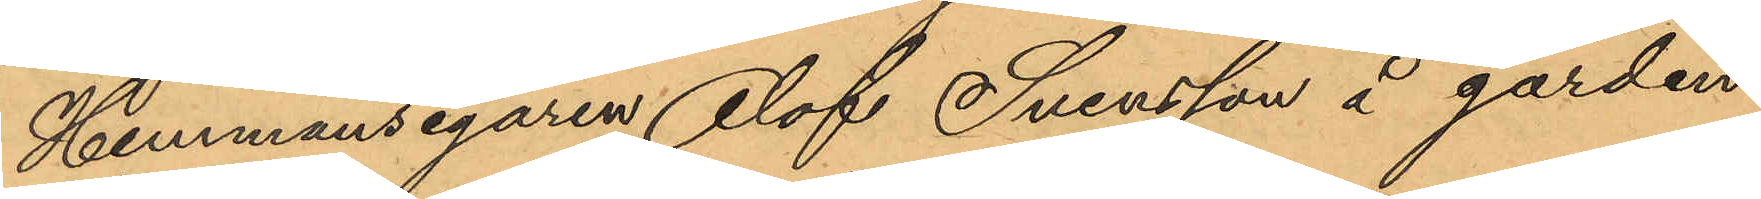Hemmansegaren Olof Svensson å gården
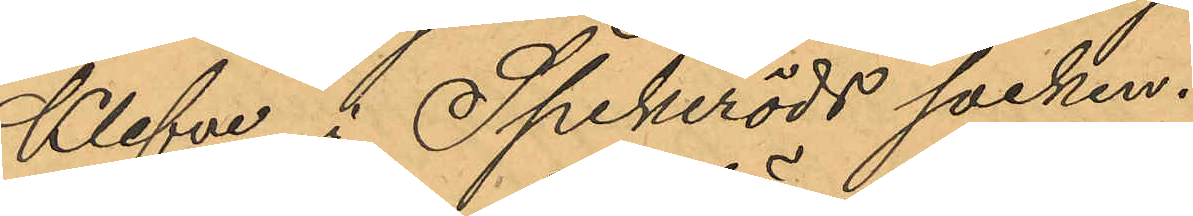Klefva i Spekeröds socken.
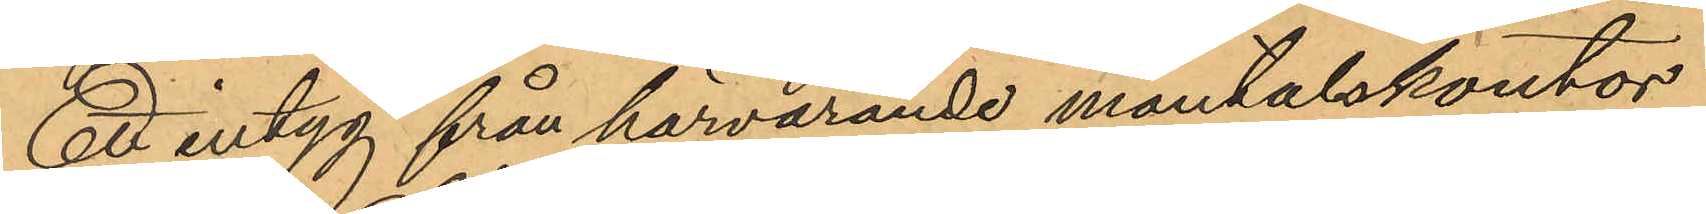Ett intyg från härvarande mantalskontor
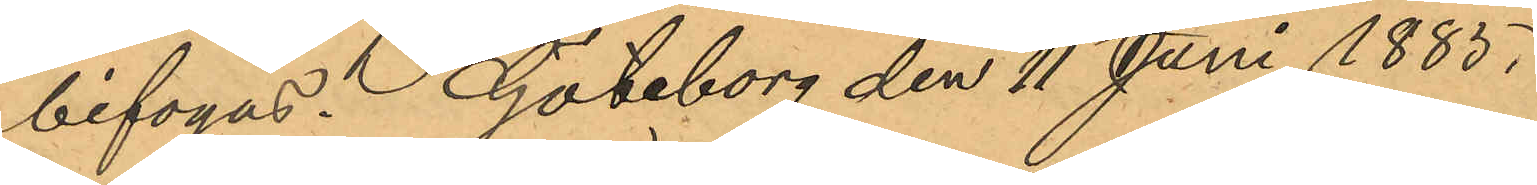bifogas. Göteborg den 11 Juni 1885.
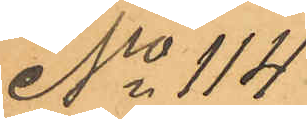No 114
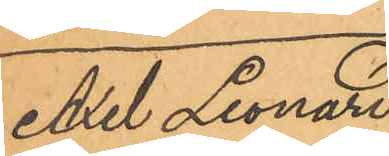Axel Leonard
